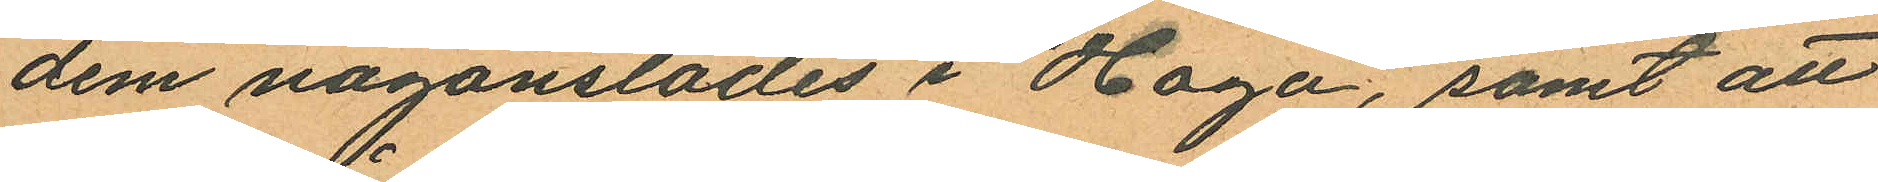dem någonstädes i Haga, samt att
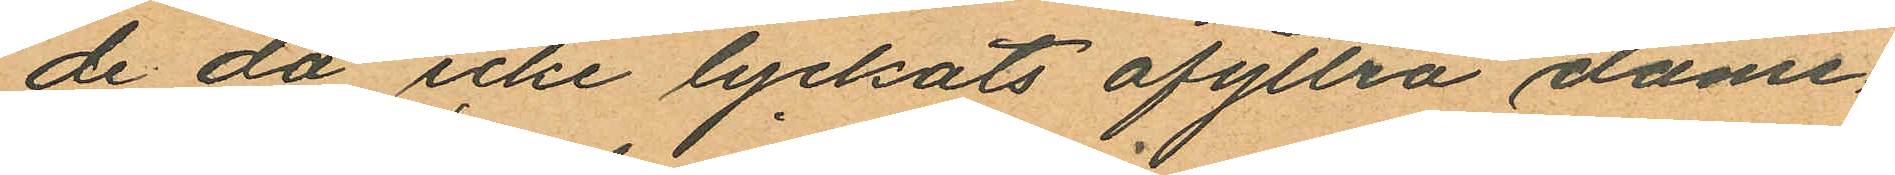de då icke lyckats afyttra dame¬
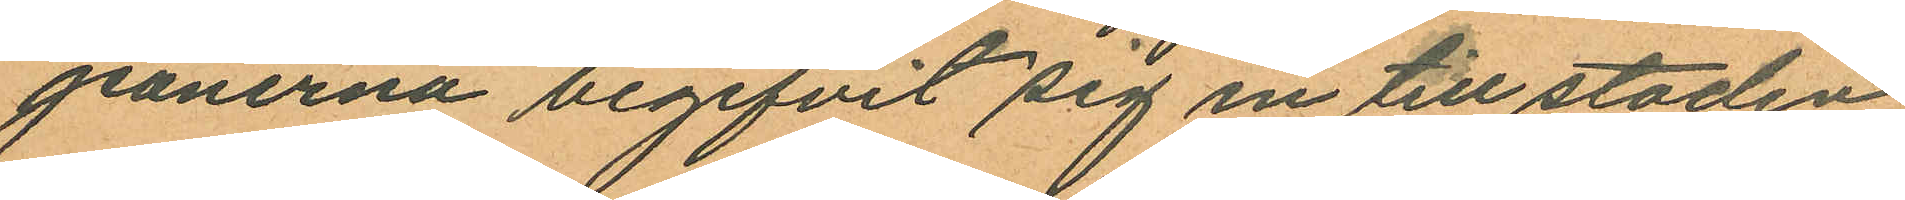jeanerna begifvit sig in till staden,
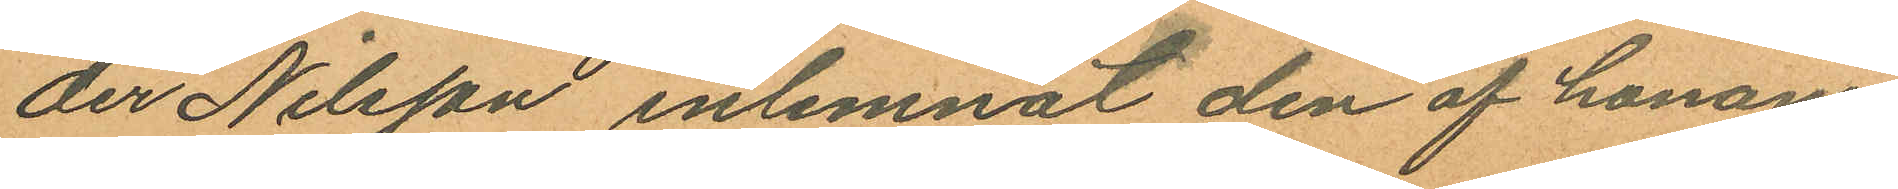der Nilsson inlemnat den af honom
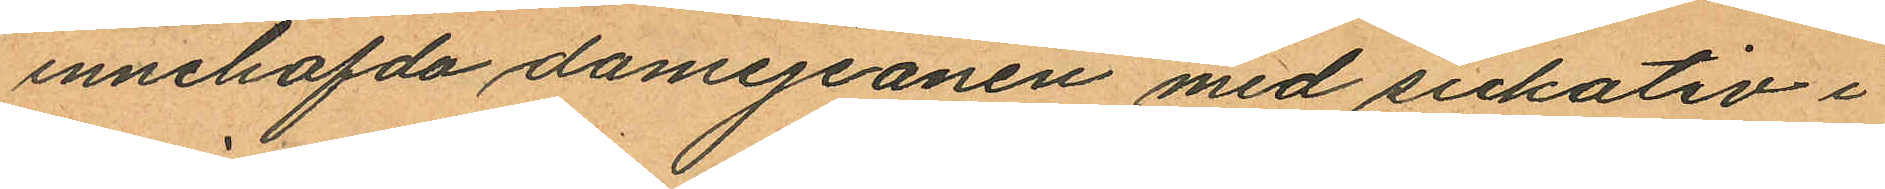innehafvda damejeanen med sickativ i
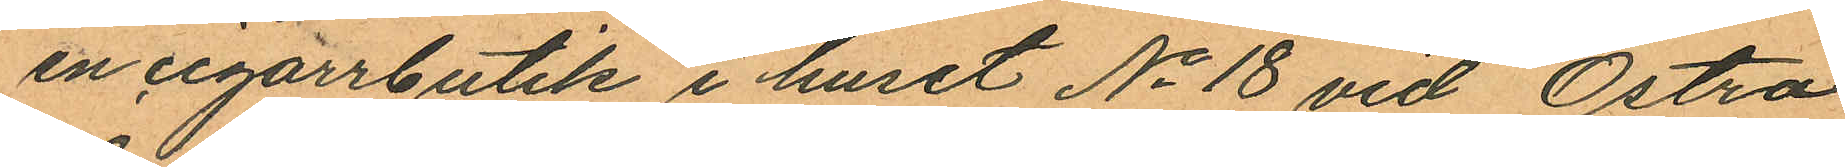en cigarrbutik i huset No 18 vid Östra
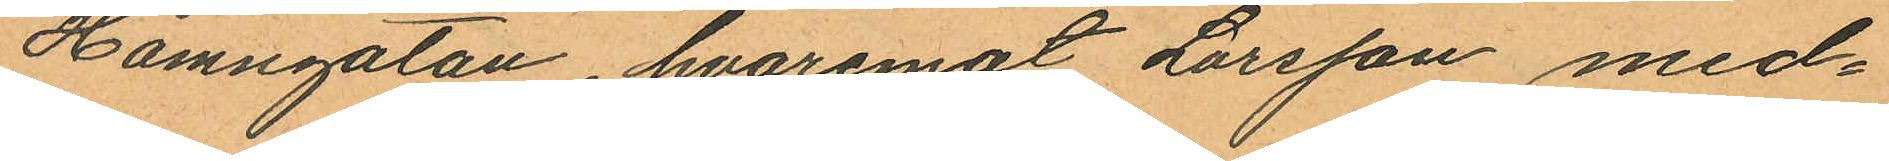Hamngatan, hvaremot Larsson med¬
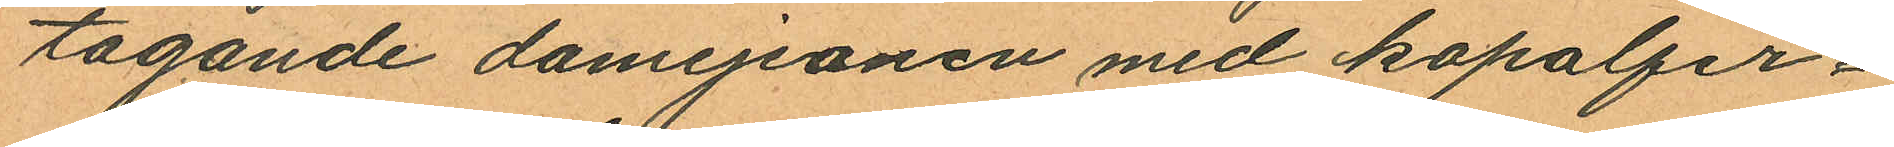tagande damejeanen med kopalfer¬
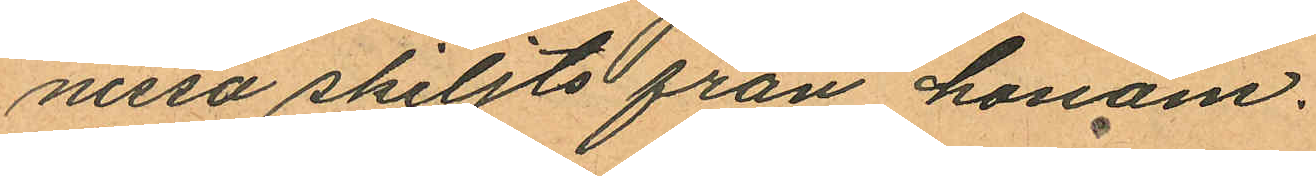nissa skiljts från honom.
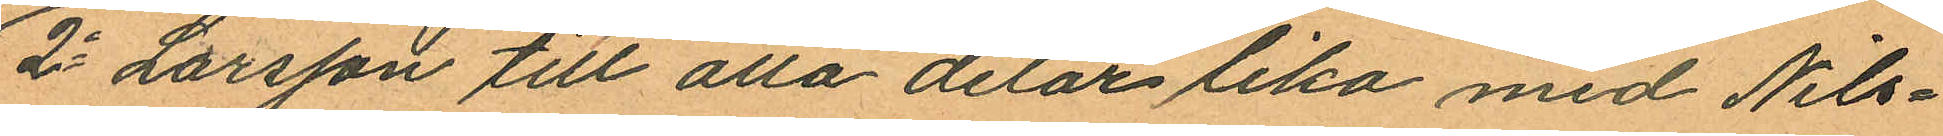2o Larsson till alla delar lika med Nils¬
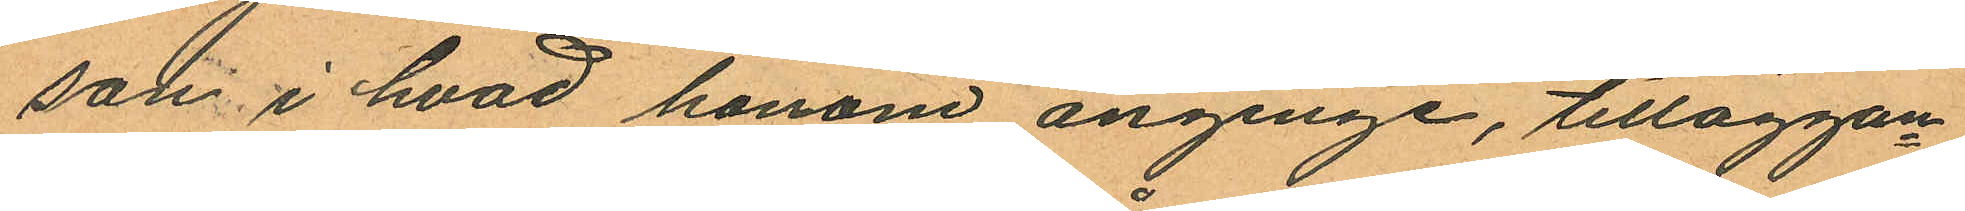som i hvad honom anginge, tilläggan¬
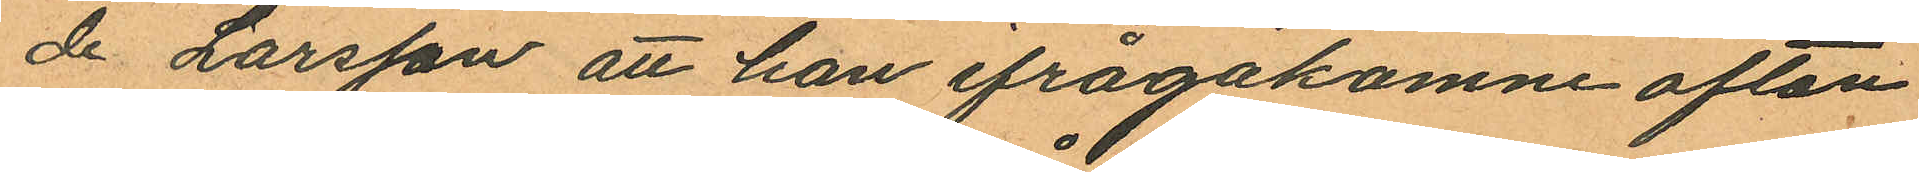de Larsson att han ifrågakomne afton
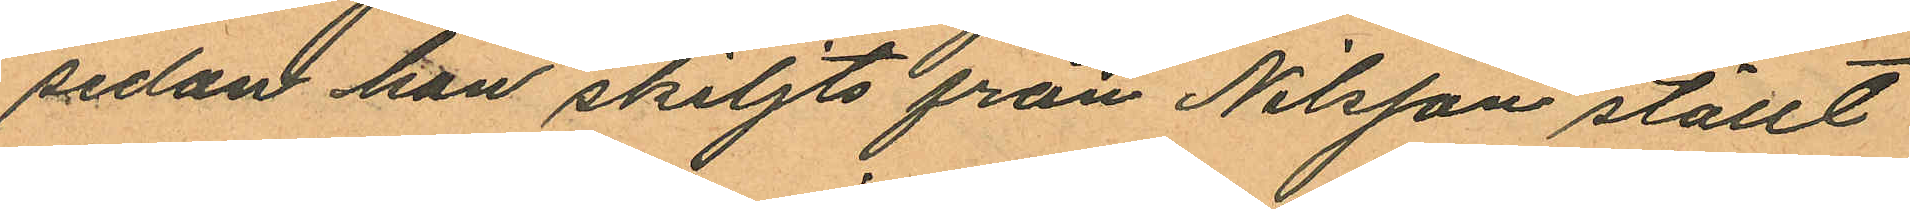sedan han skiljts från Nilsson ställt
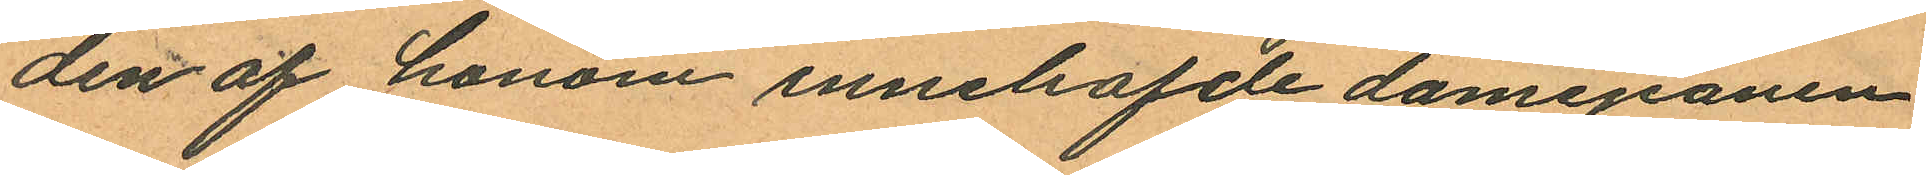den af honom innehafde damejeanen
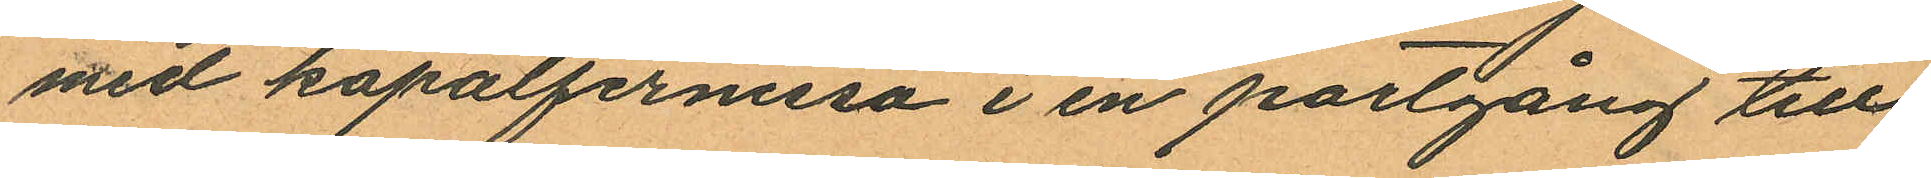med kopalfernissa i en portgång till
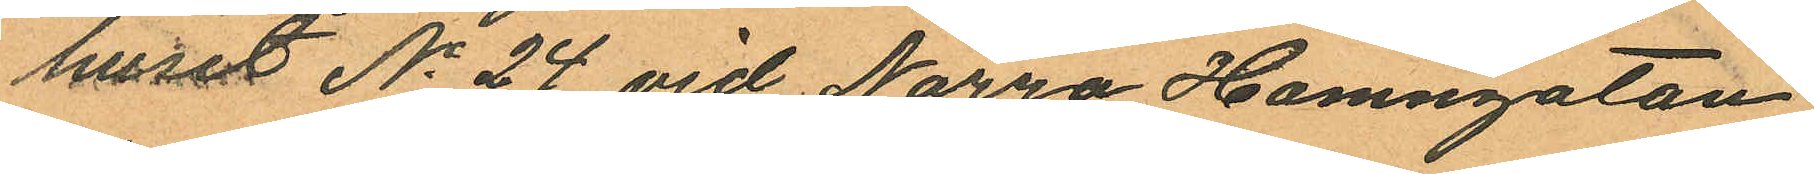huset No 24 vid Norra Hamngatan,
